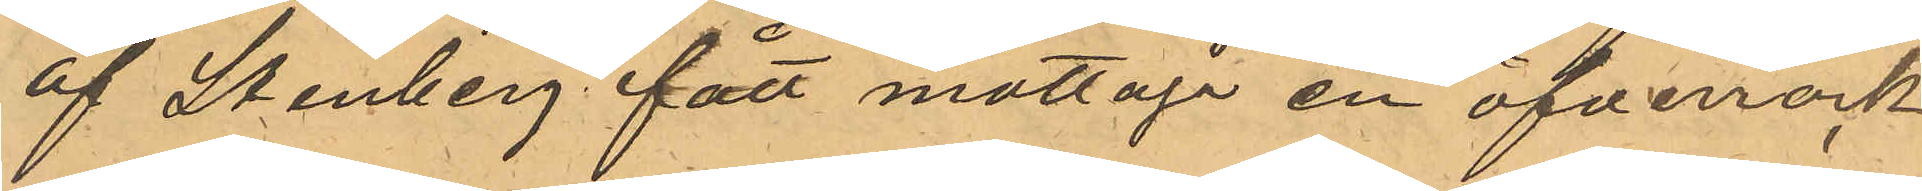af Stenberg fått mottaga en öfverrock
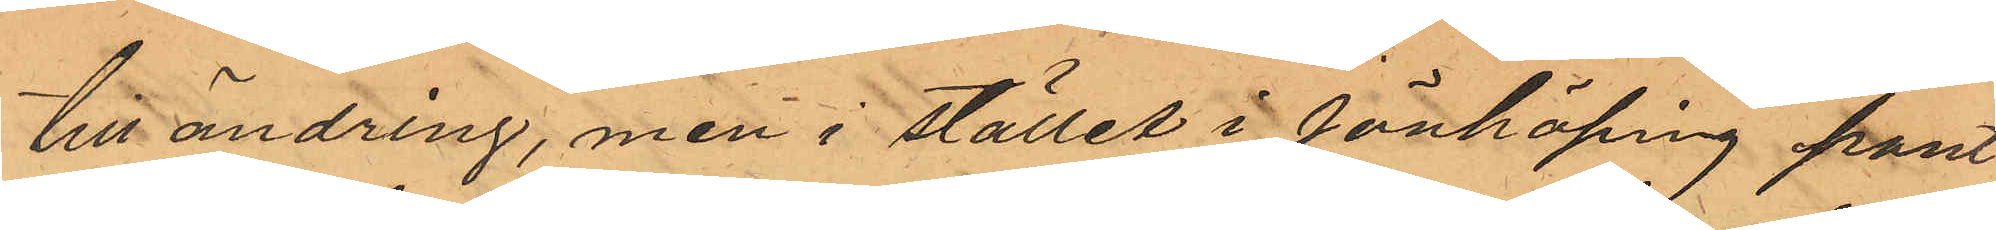till ändring, men i stället i Jönköping pant
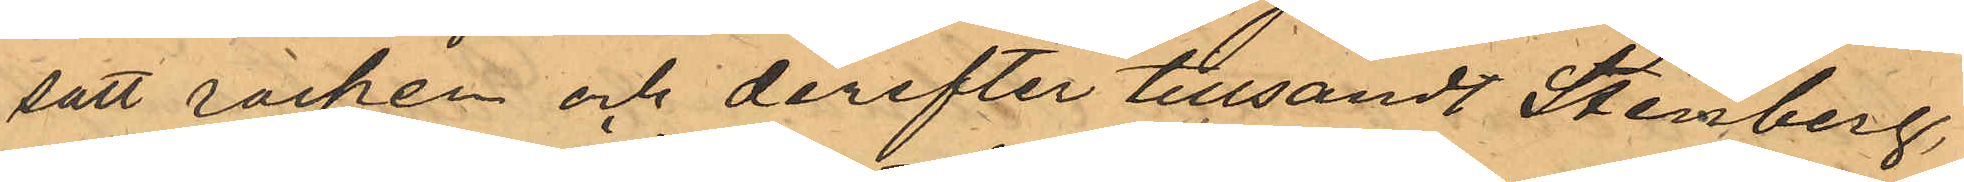satt rocken och derefter tillsandt Stenberg,
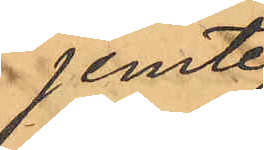jemte
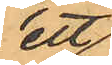ett
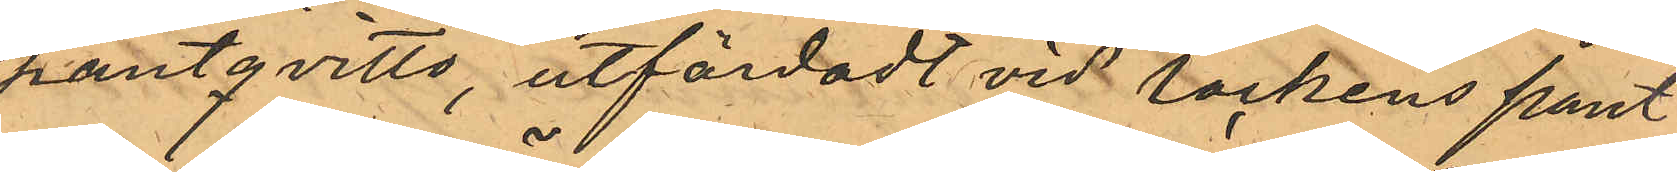pantqvitto, utfärdadt vid rockens pant¬
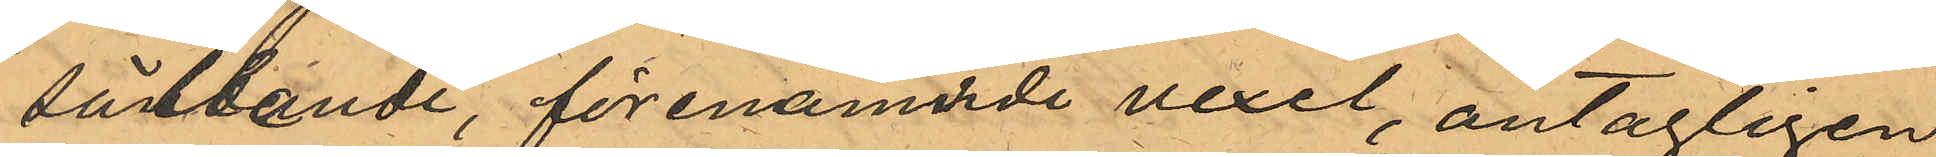sättande, förenämnde vexel, antagligen
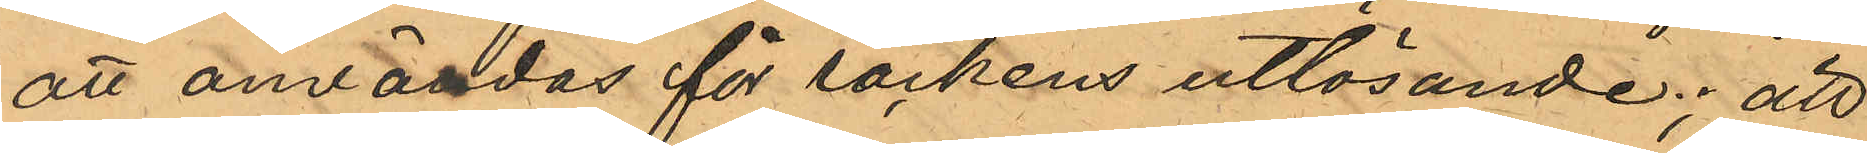att användas för rockens utlösande; att
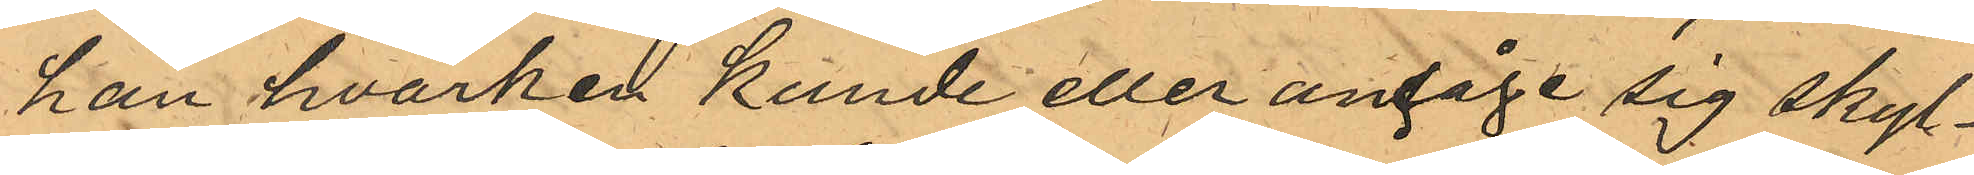han hvarken kunde eller ansåge sig skyl¬
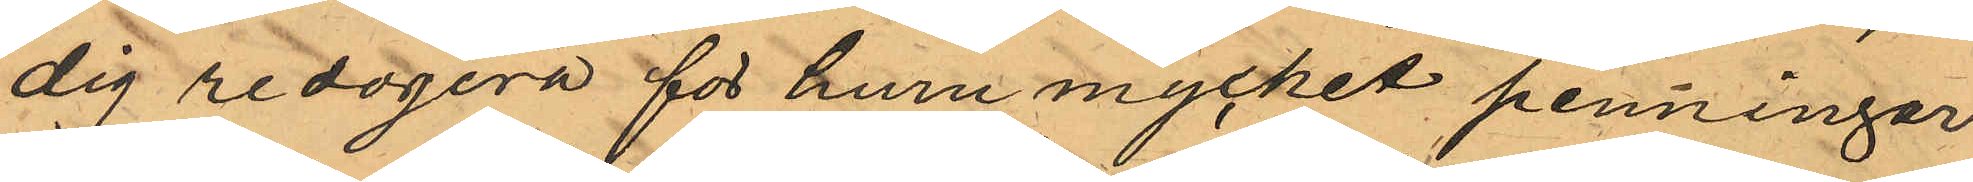dig redogöra för huru mycket penningar
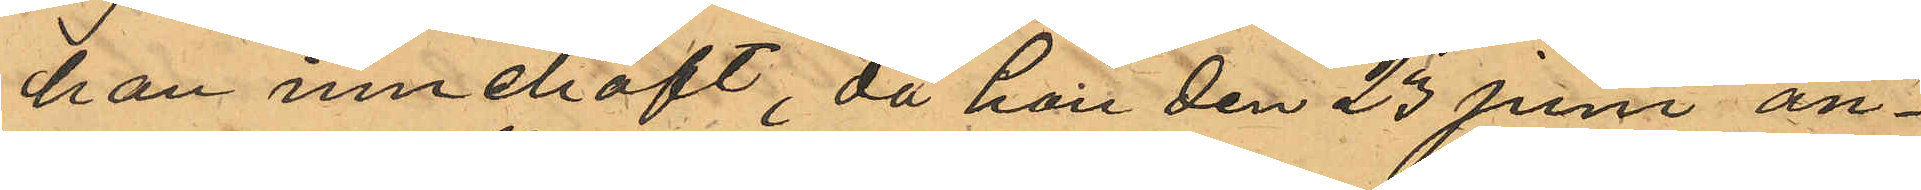han innehaft, då han den 23 Juni an¬
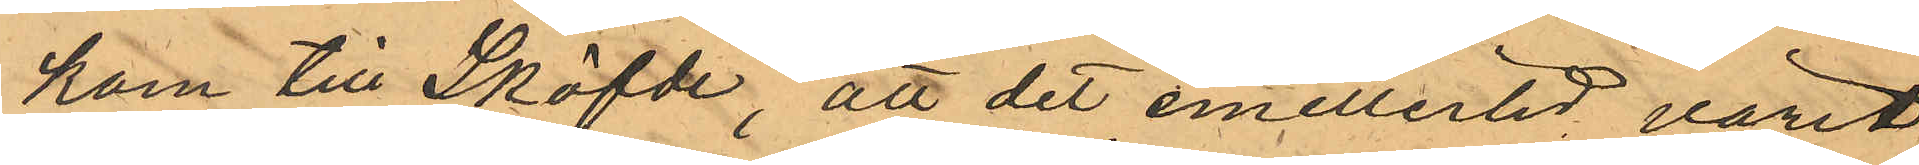kom till Sköfde, att det emellertid varit
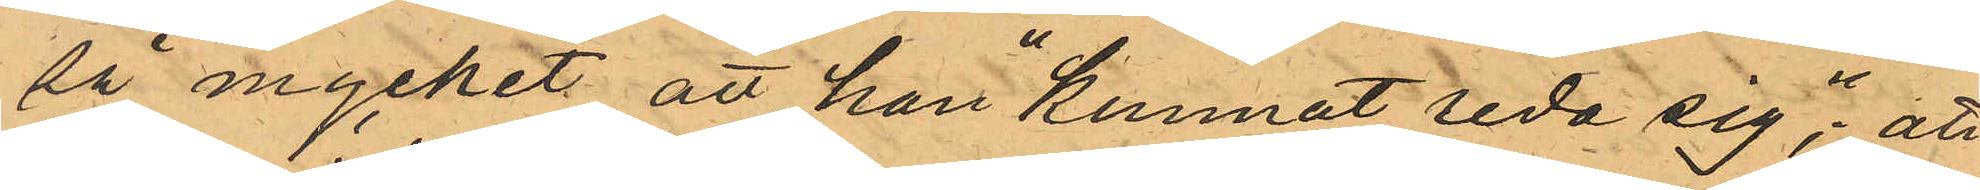så mycket att han "kunnat reda sig"; att
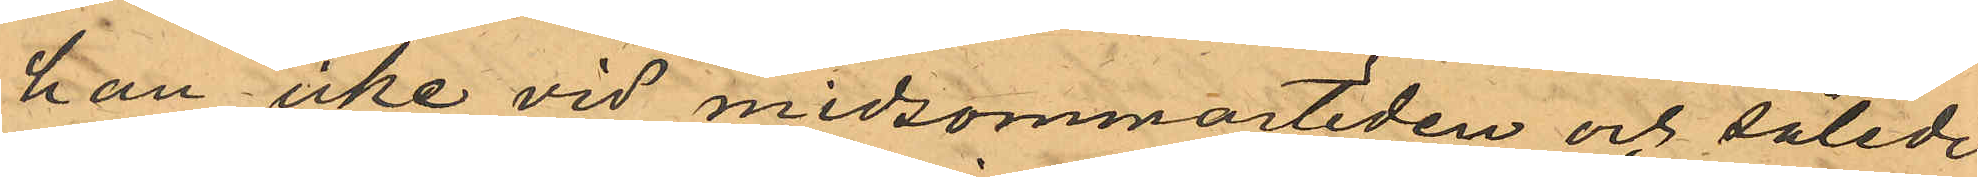han icke vid midsommartiden och således
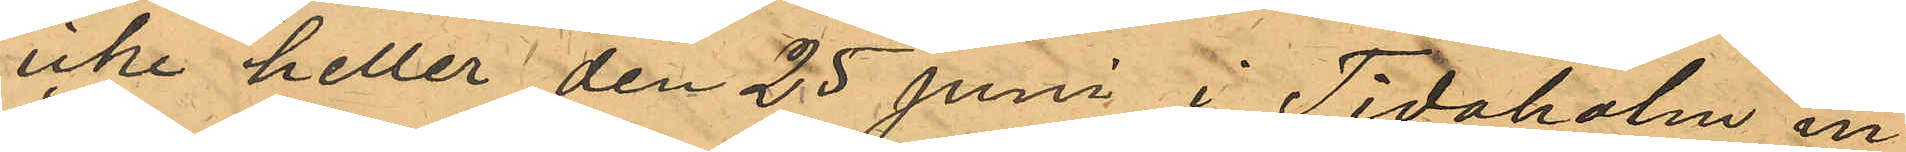icke heller den 25 Juni i Tidaholm in¬
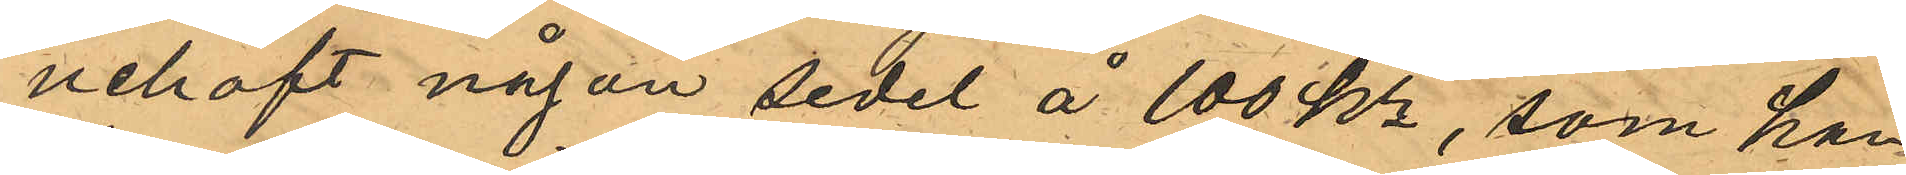nehaft någon sedel å 100 Kr, som han
